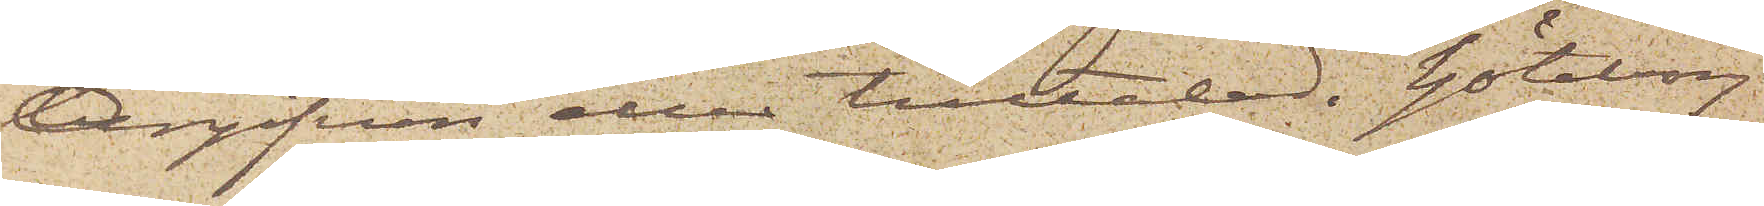Angifven eller tilltalad. Göteborg
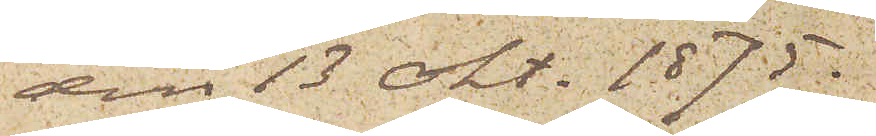den 13 Okt. 1875.
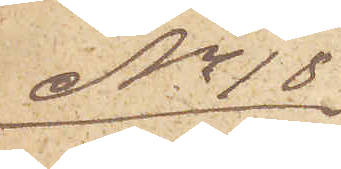No 18
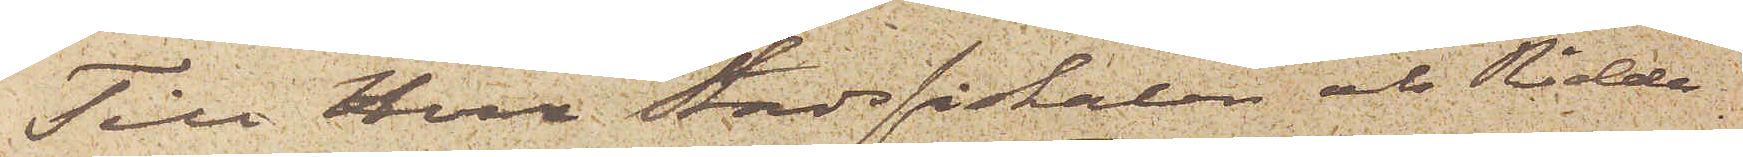Till Herr Stadsfiskalen och Ridda¬
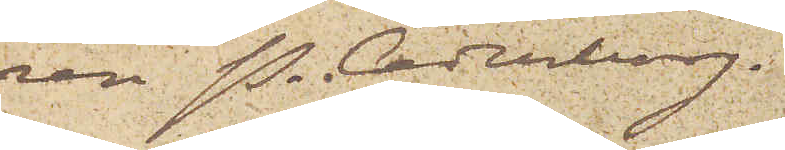ren P. Cederborg.
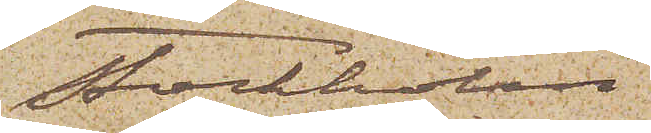Stockholm
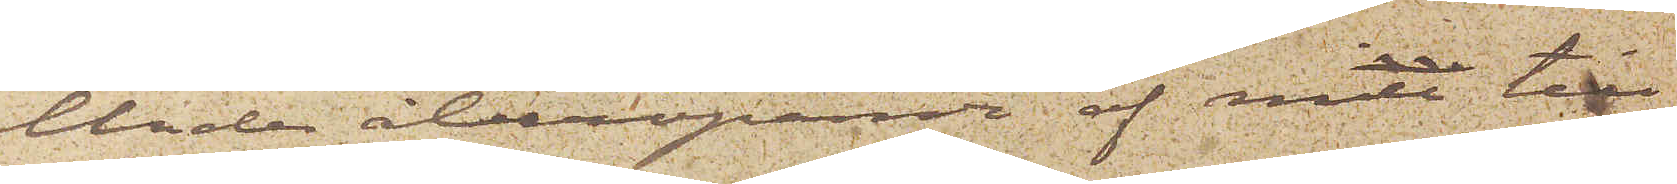Under åberopande af min till
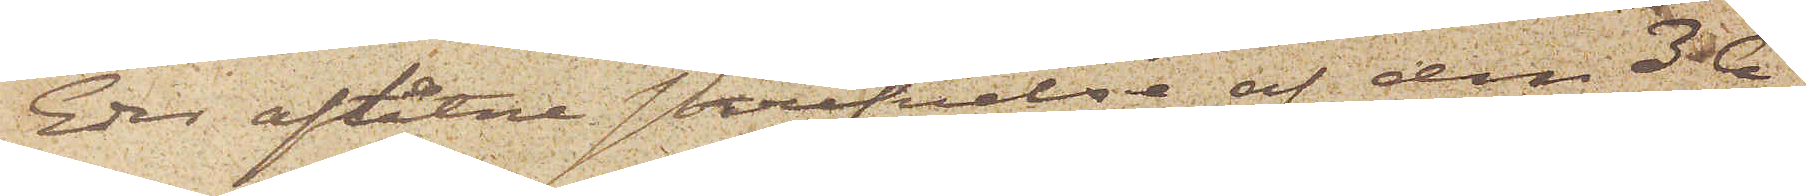Eder aflåtne skrifvelse af den 3 A¬
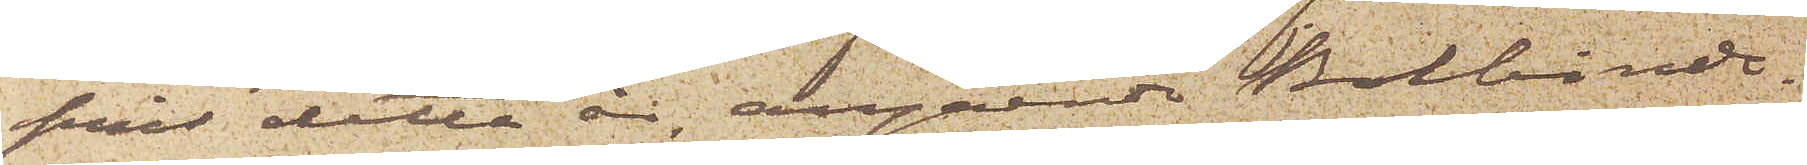pril detta år, angående Bokbinde¬
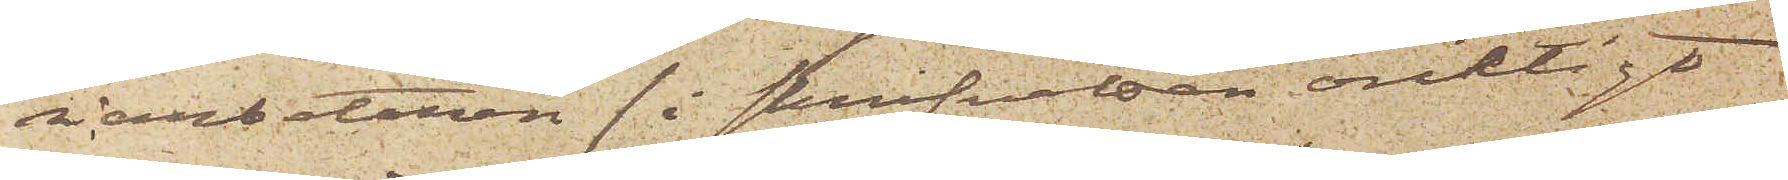riarbetaren (i skrifvelsen oriktigt
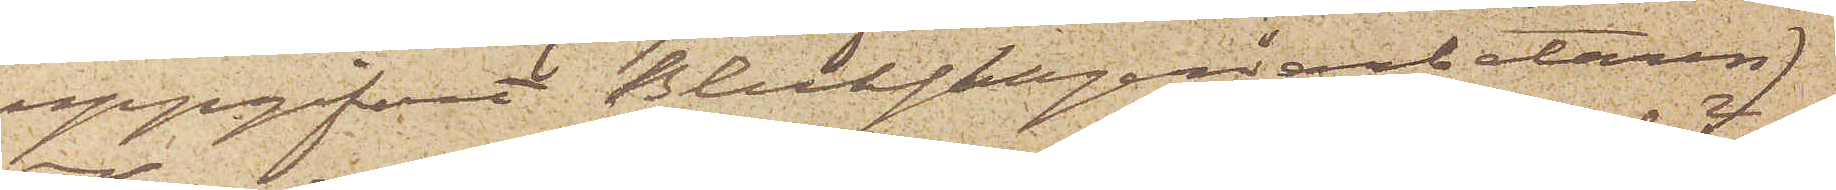uppgifvet Bleckslageriarbetaren)
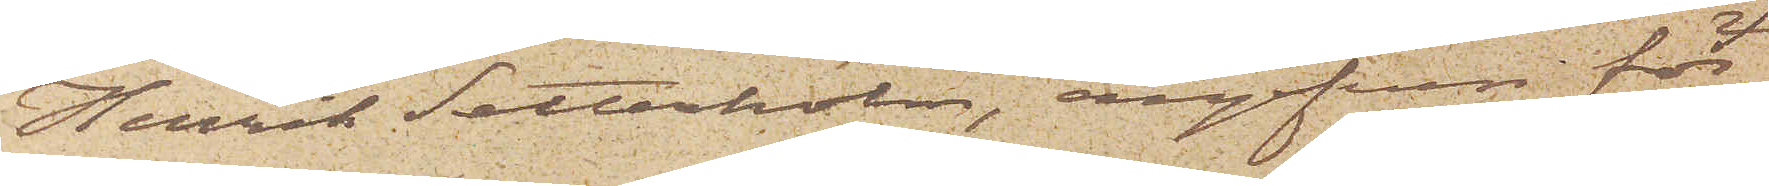Henrik Setterholm, angifven för
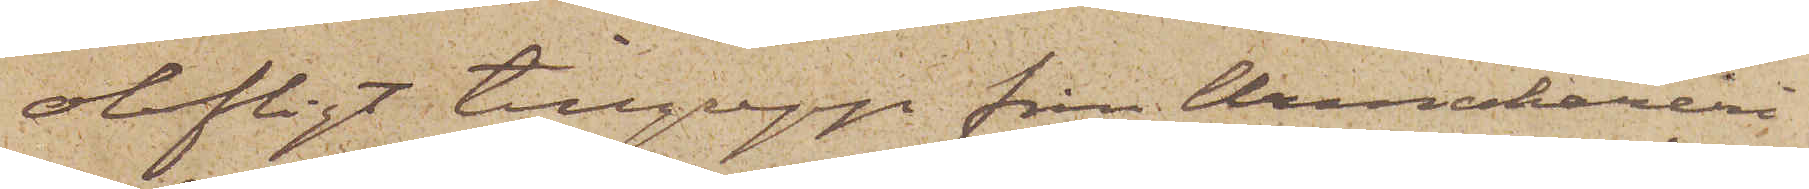olofligt tillgrepp från Urmakareri¬
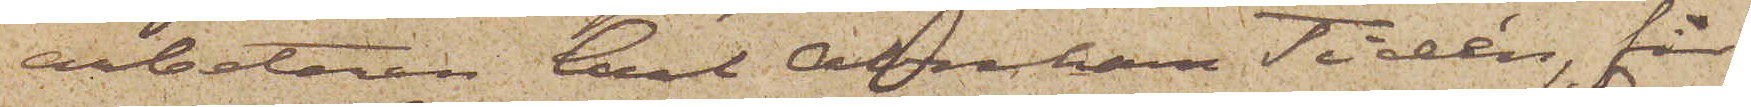arbetaren Carl Abraham Tidén, får
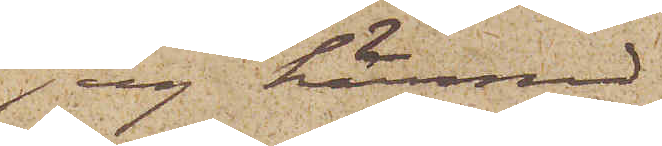jag härmed
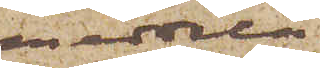meddela
